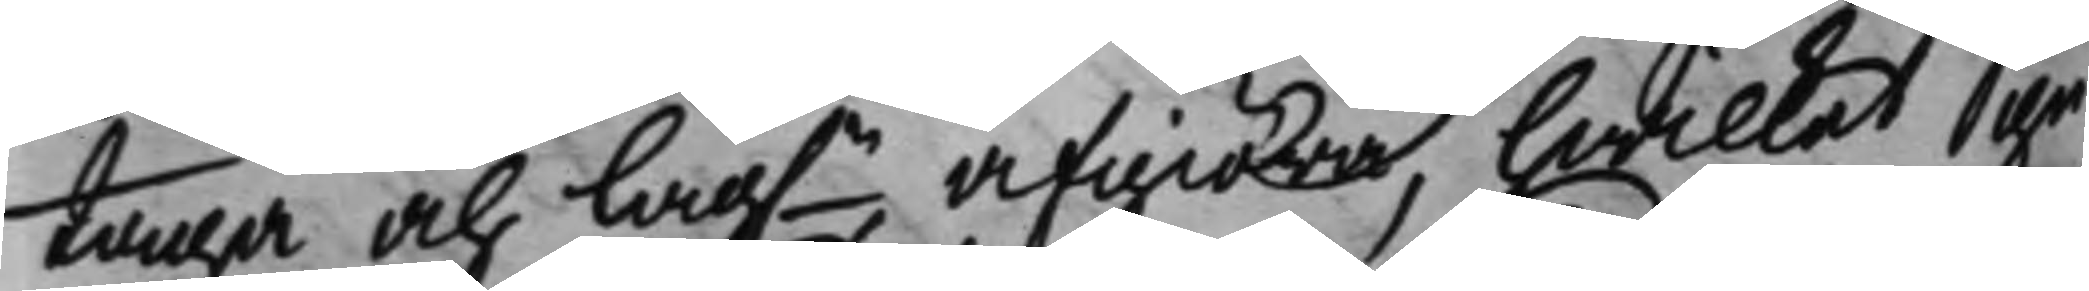taga och lag.n afgiöra, hwilket ge¬
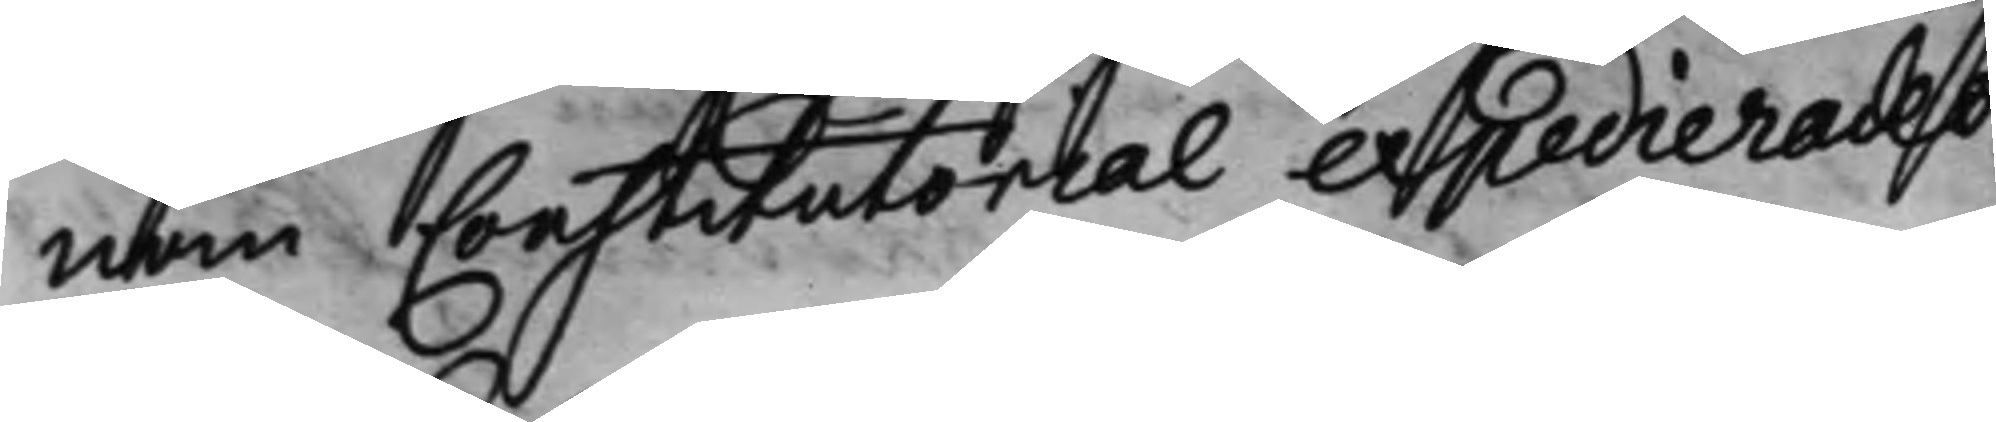nom Constitutorial expedierades,
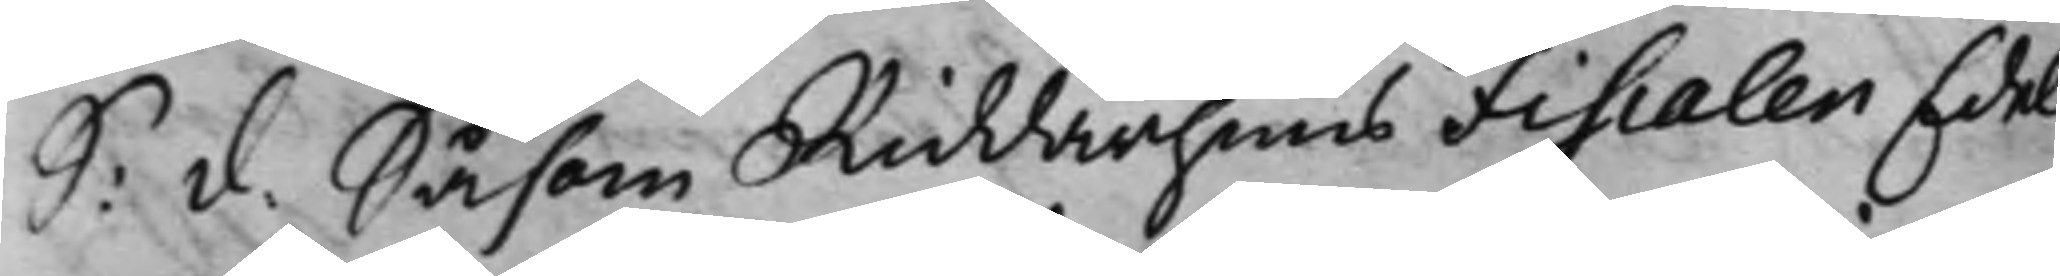S: d. Såsom Riddarhuus Fiscalen Edel
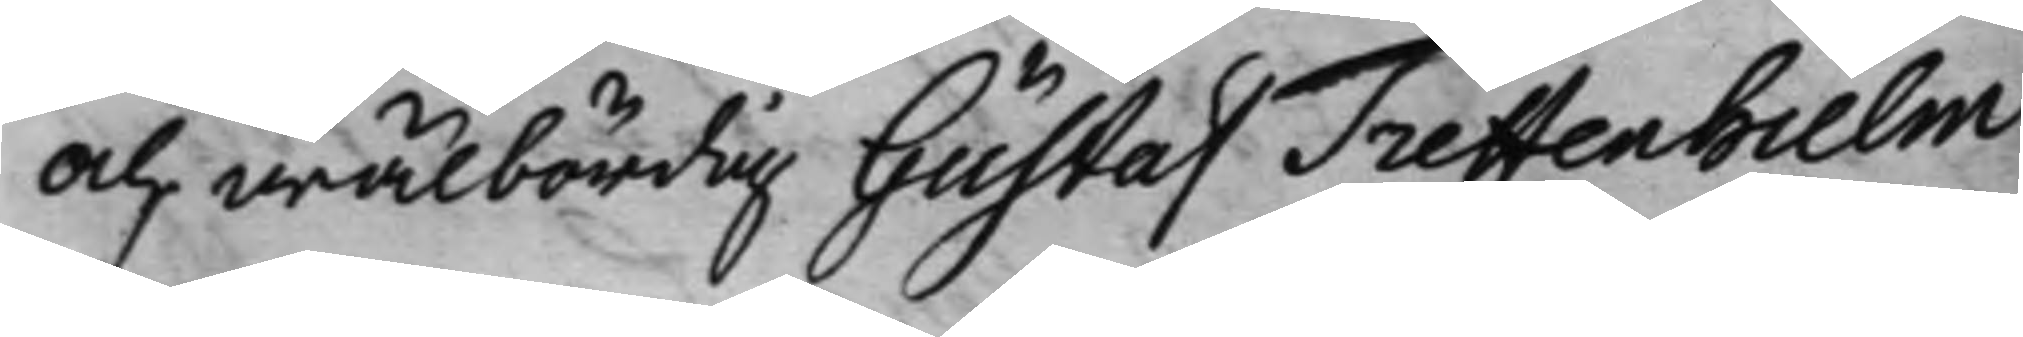och wälbördig Gustaf Treffenhielm
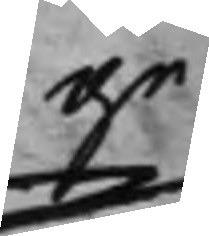ge¬
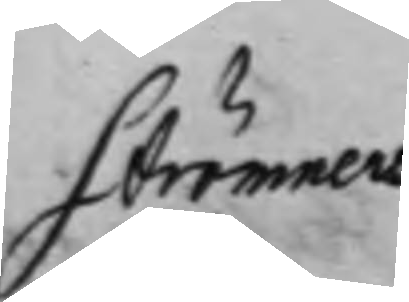Strömners
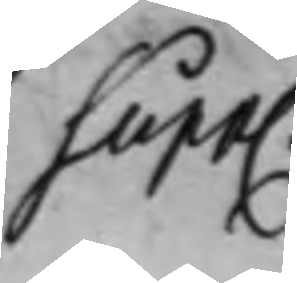Supp.
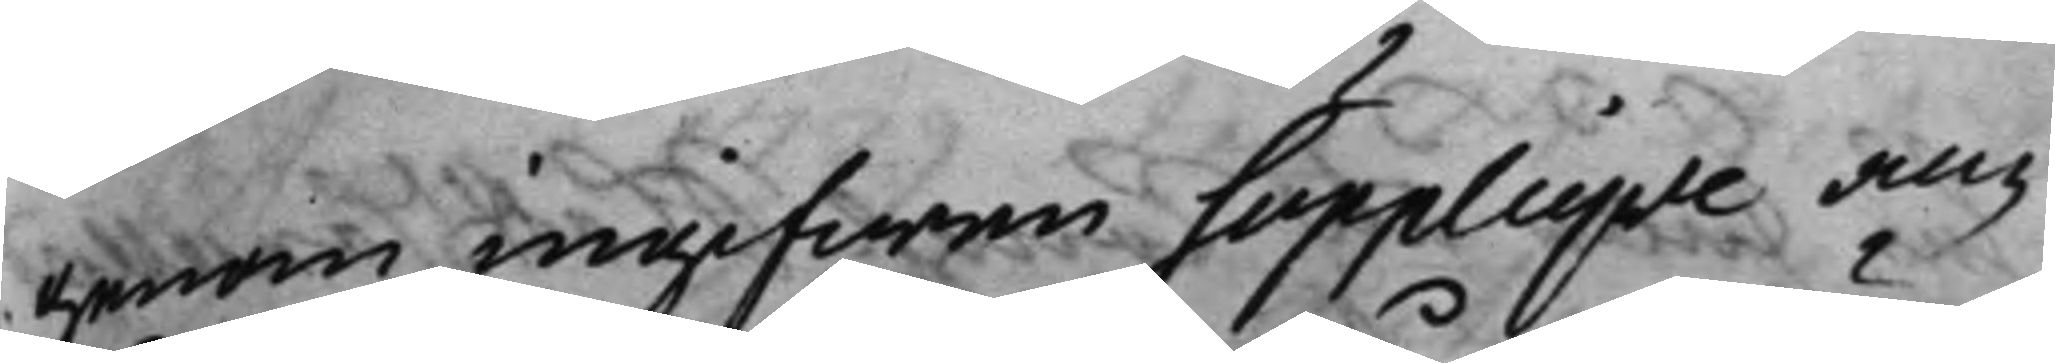genom ingifwen Supplique an¬
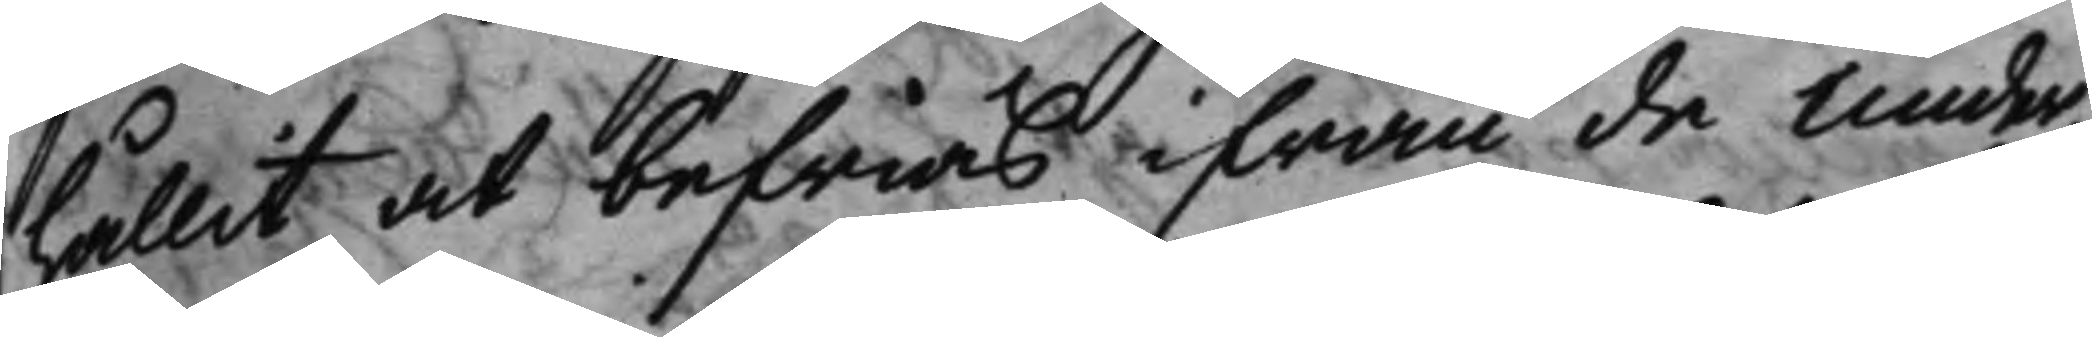hållit at befrias ifrån de under¬
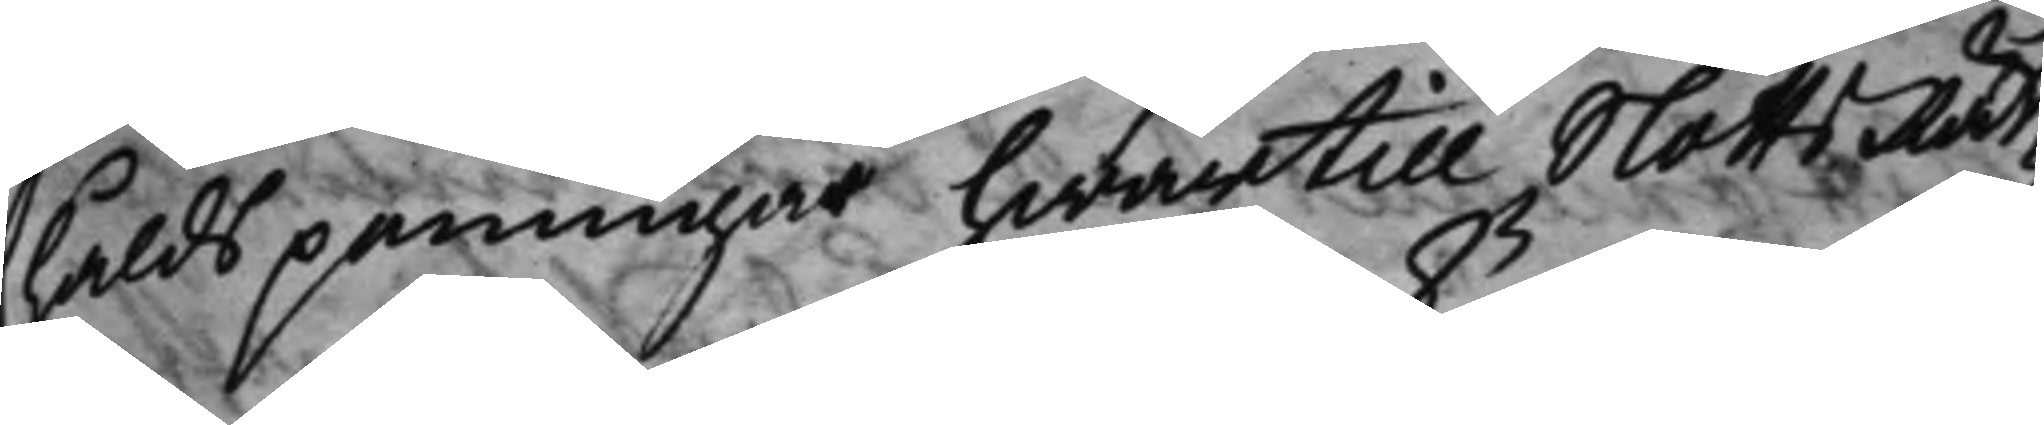håldspeningar hwartill SlottzRät¬
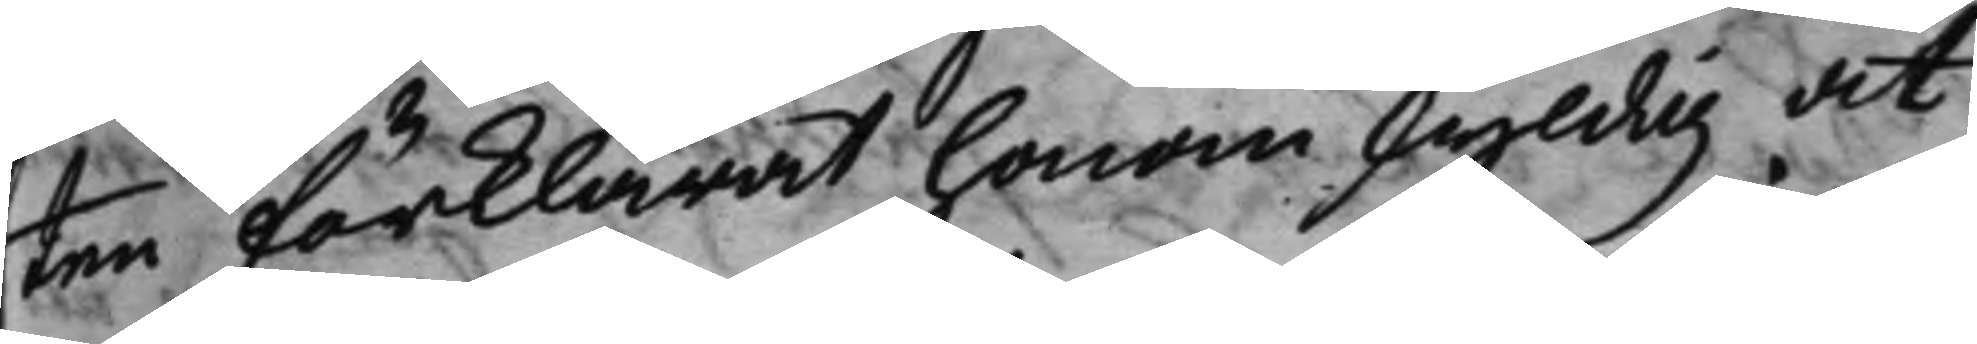ten förklarat honom skyldig at
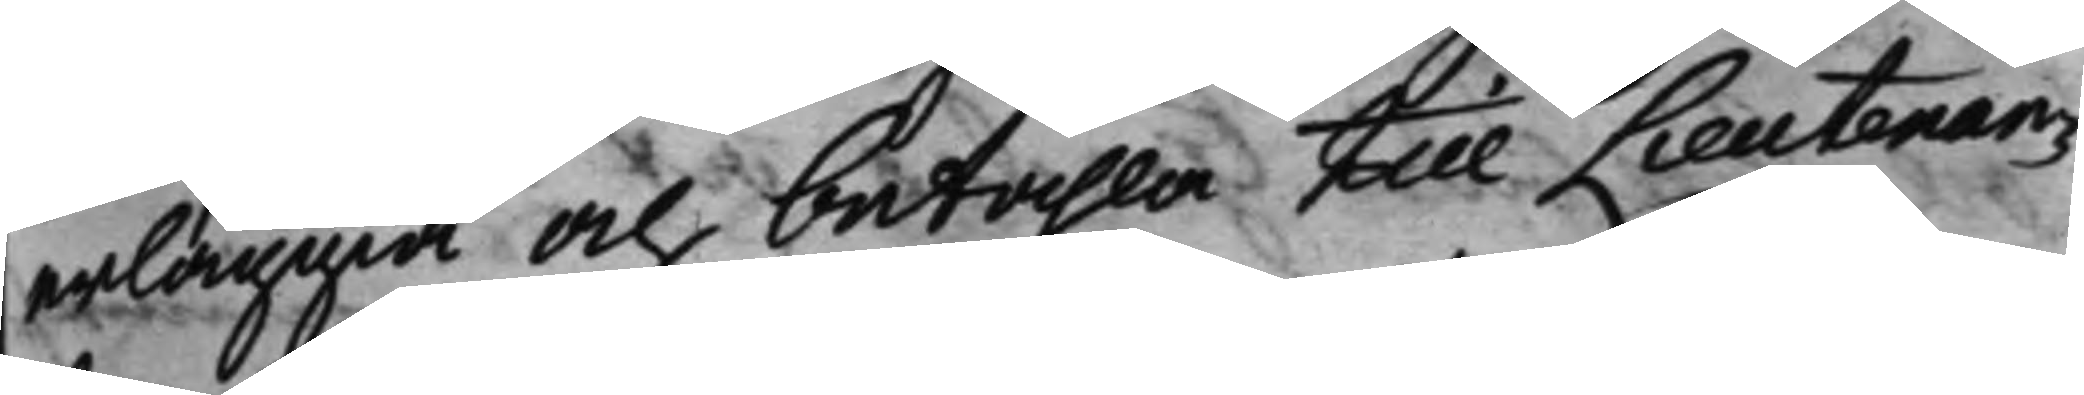erläggia och betahla till Lieutenan¬
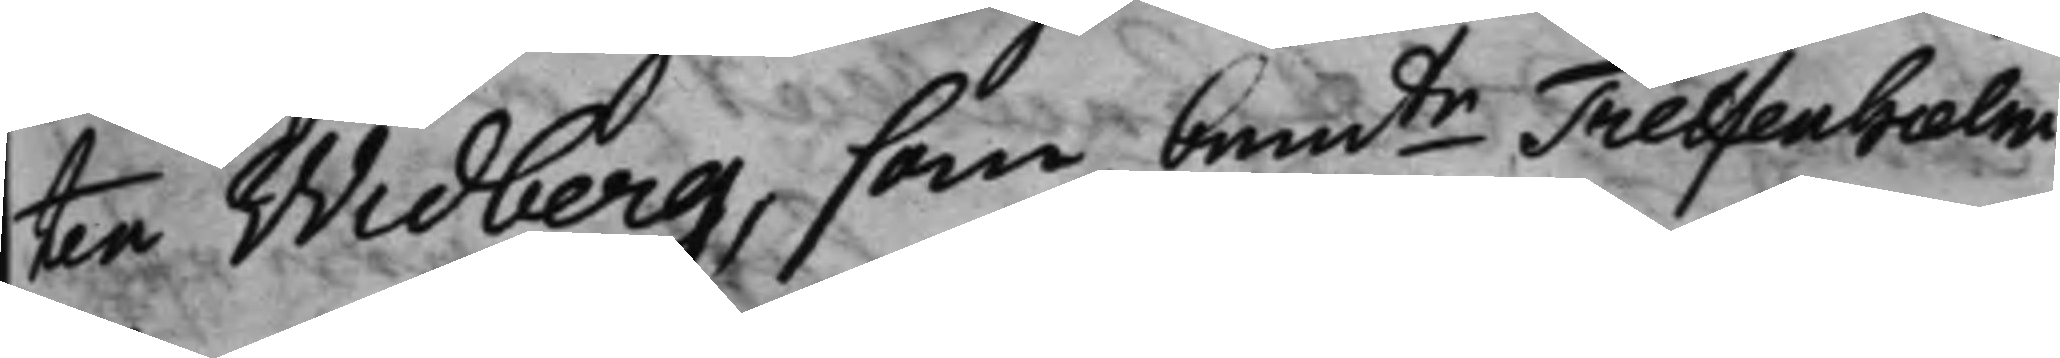tan Widberg, som bemte Treffenhielm
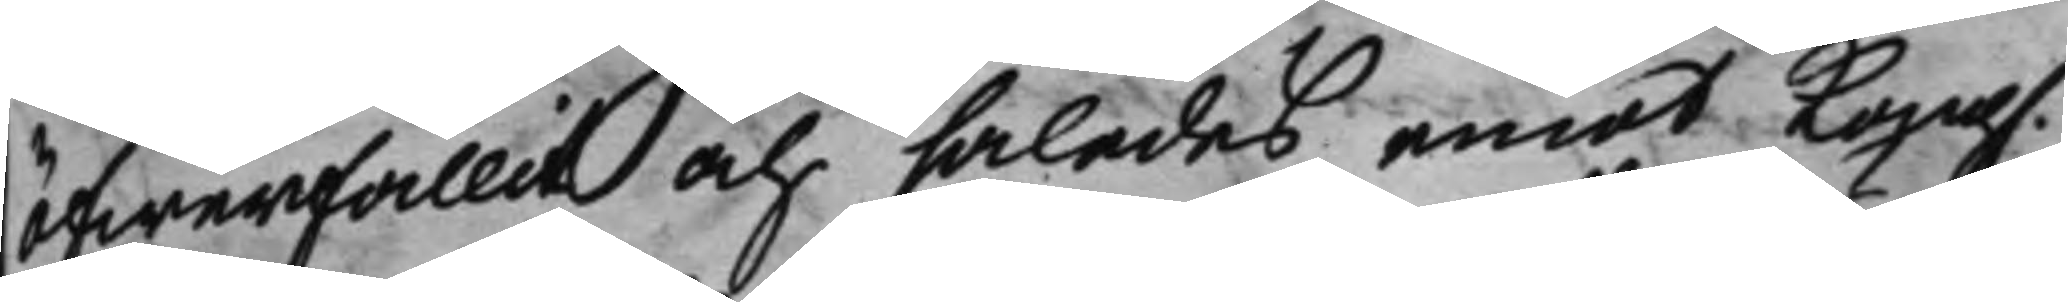öfwerfallit och således emot Kong.
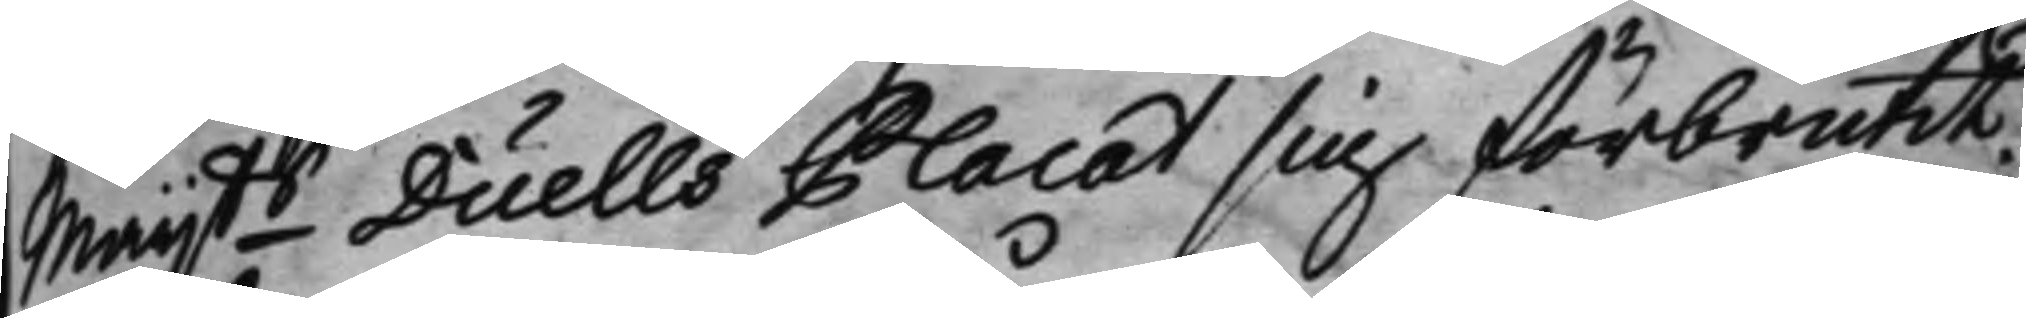Maijts Duells Placat sig förbrutit.
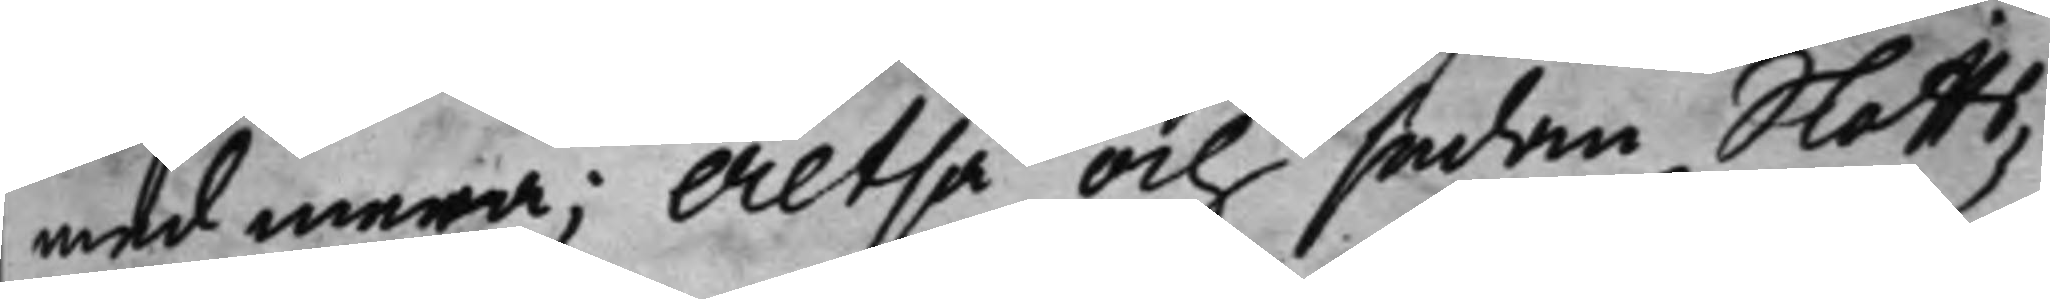med mera; Altså och sedan Slotts¬
